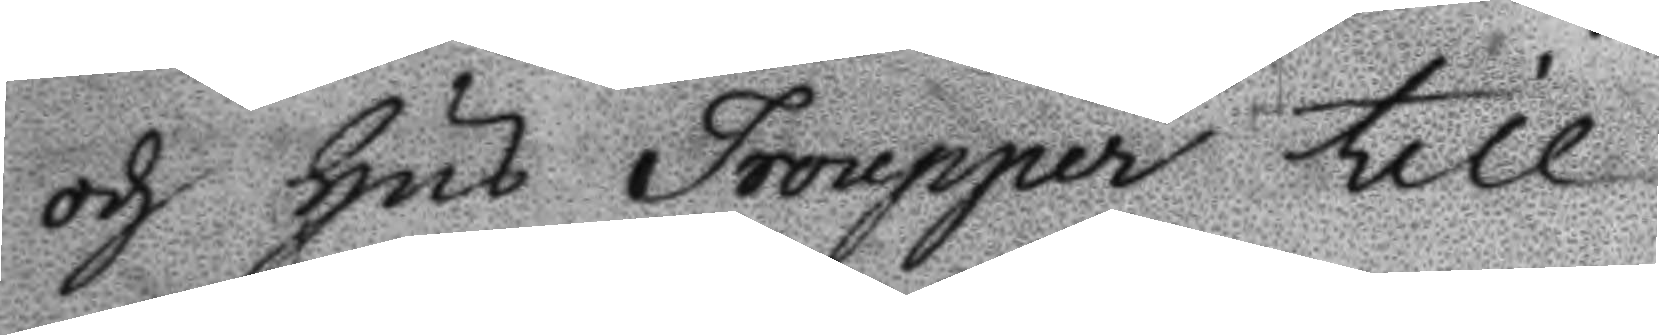och Hus Tropper till
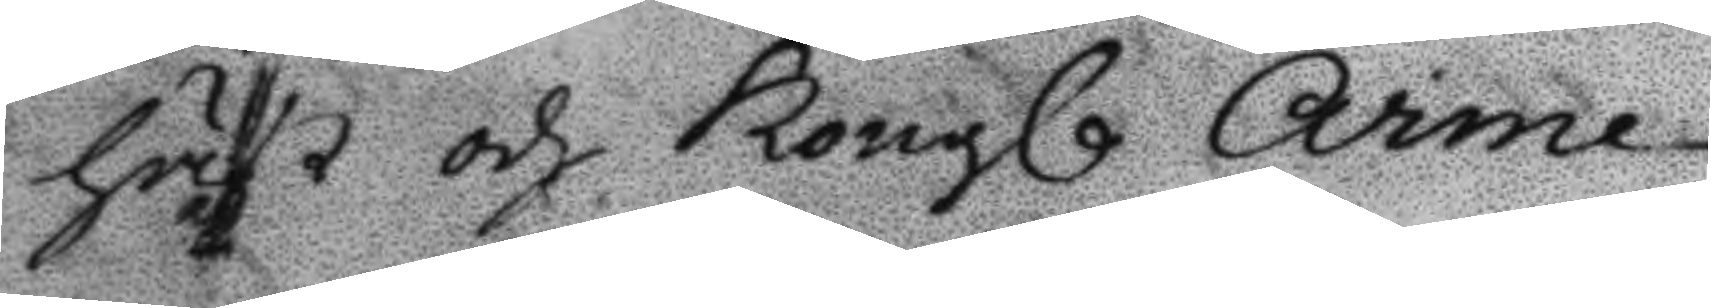häst och Kongl Arme¬
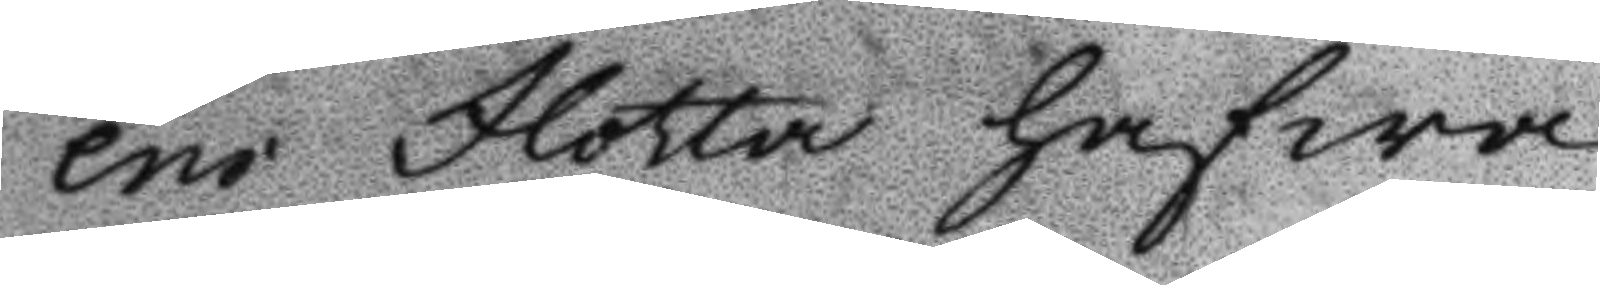ens Flotta hafwa
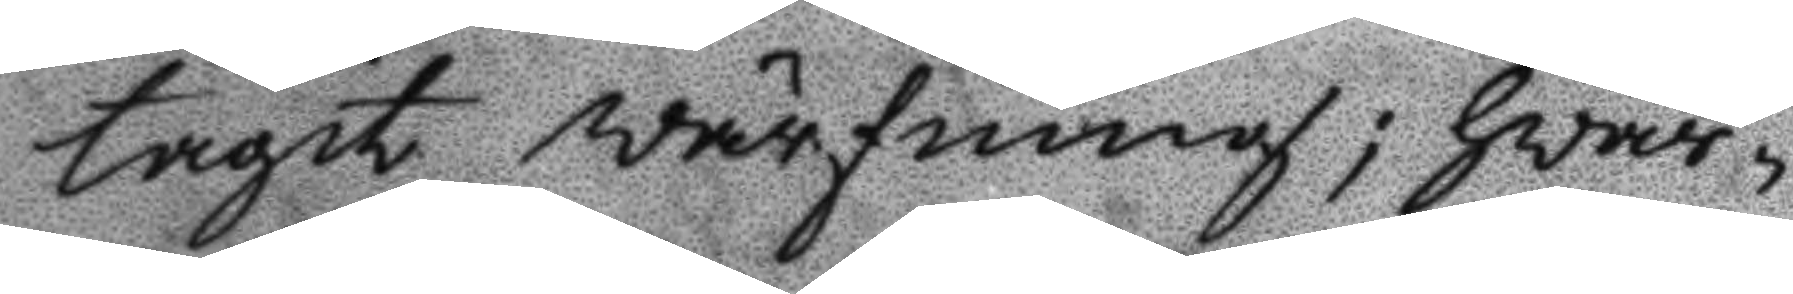tagit wärfning; hwar¬
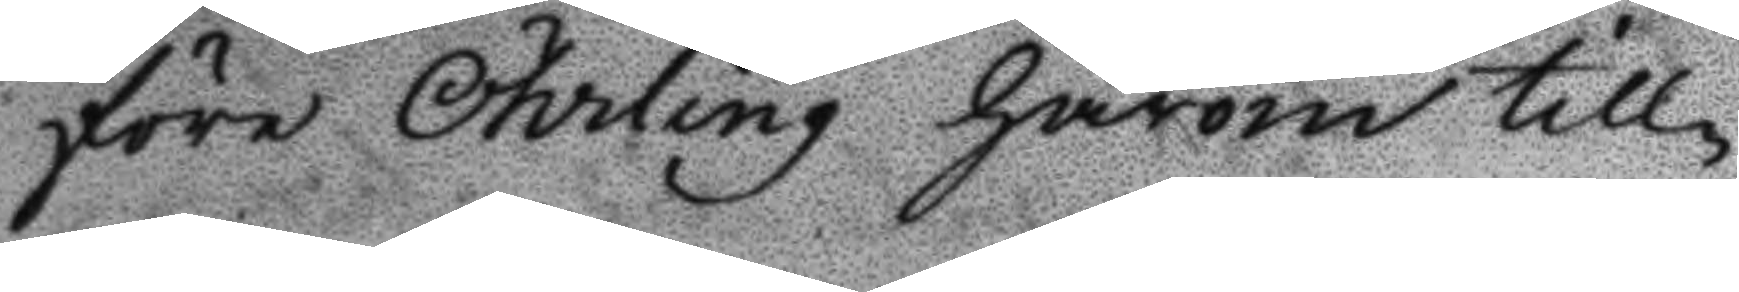före Öhrling härom till¬
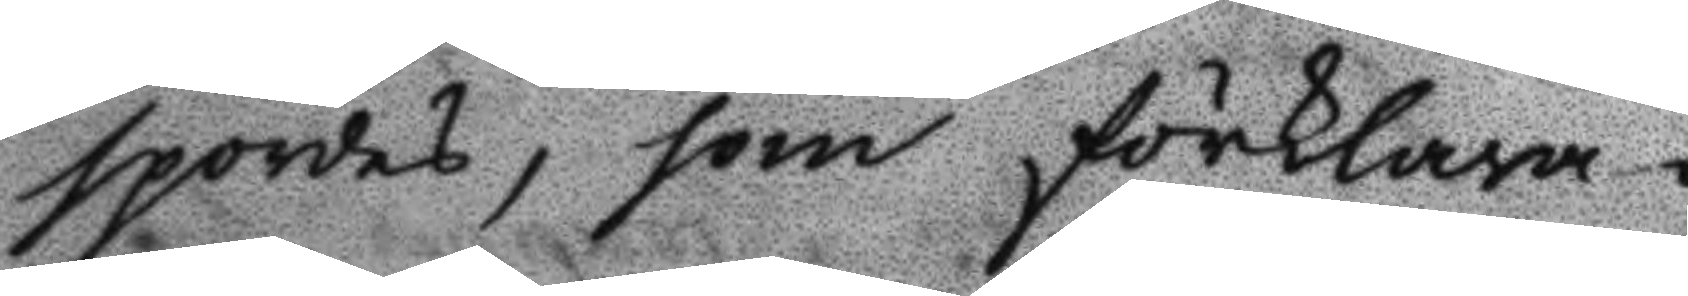spordes, som förklara¬
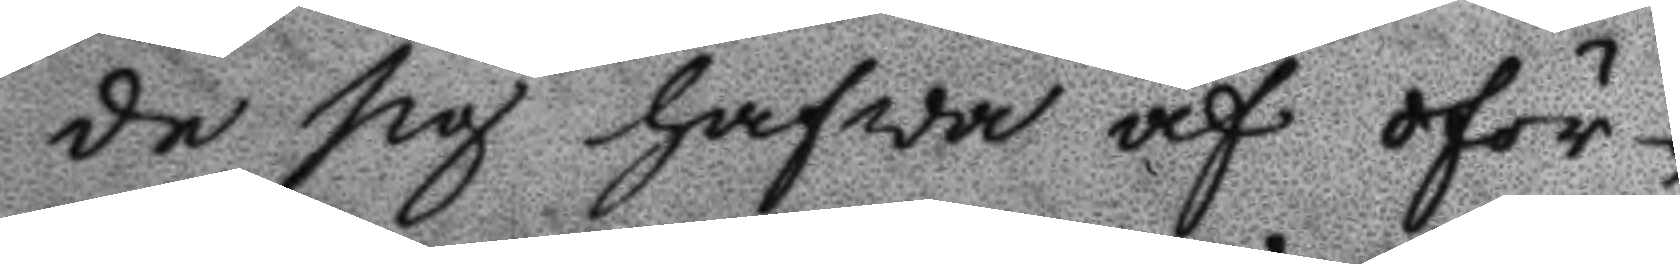de sig hafva af oför¬
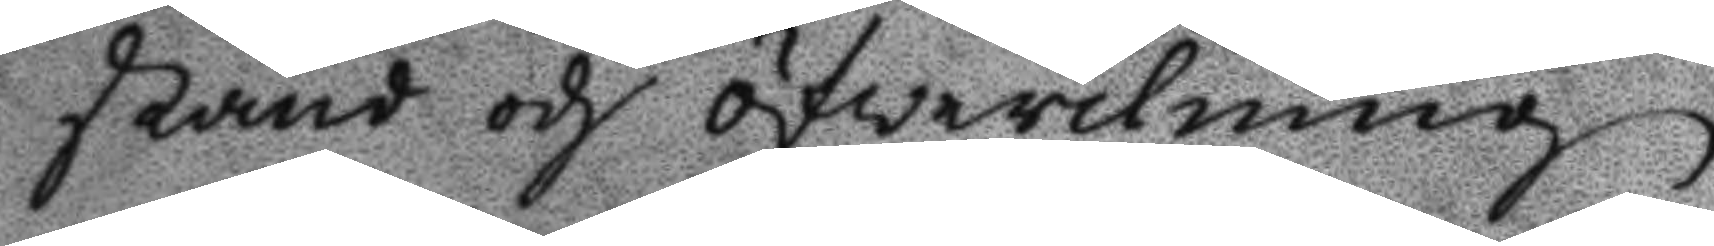stånd och öfwerilning
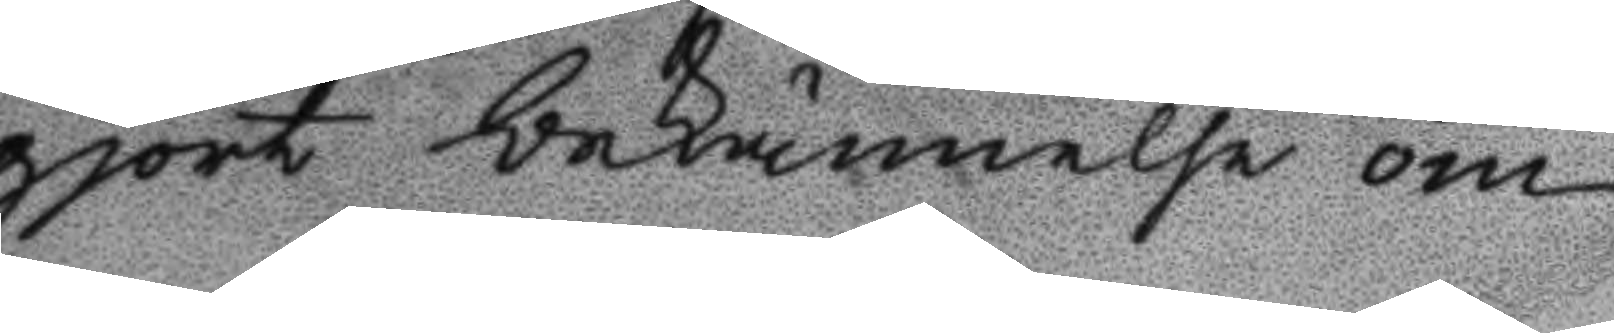gjort bekännelse om
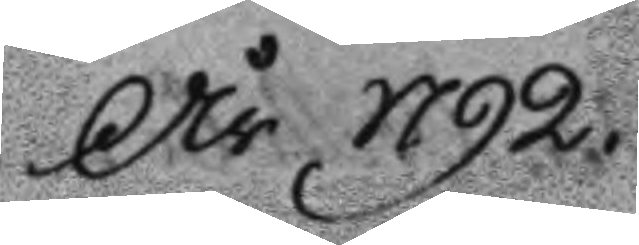År 1792.
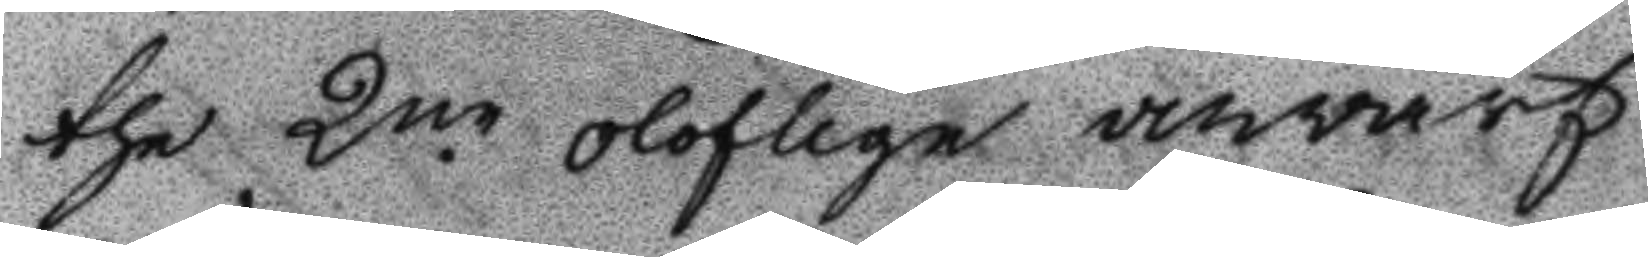the 2ne oloflige anvärf¬
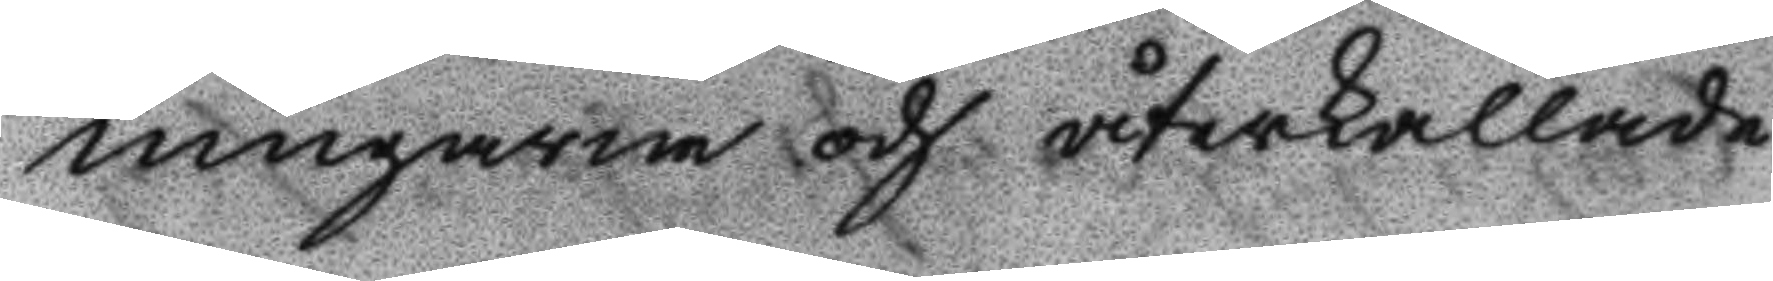ningarne och återkallade
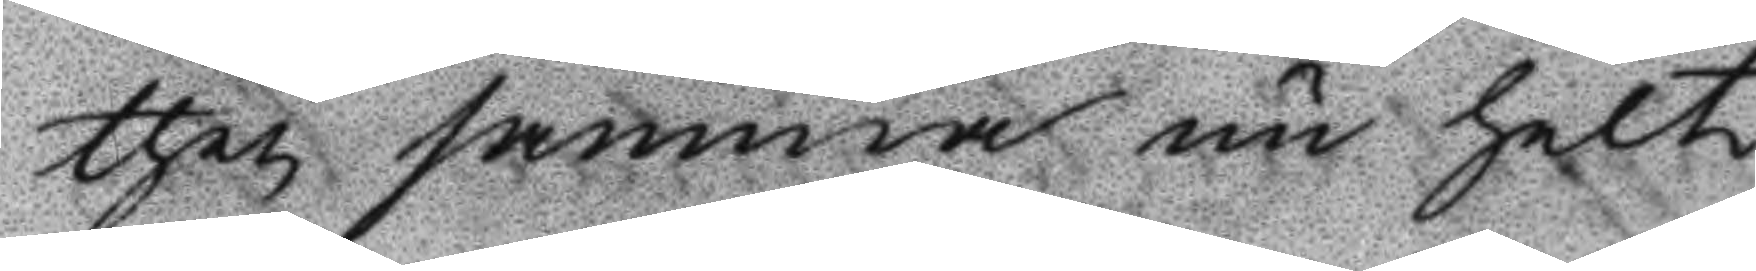then samma nu helt
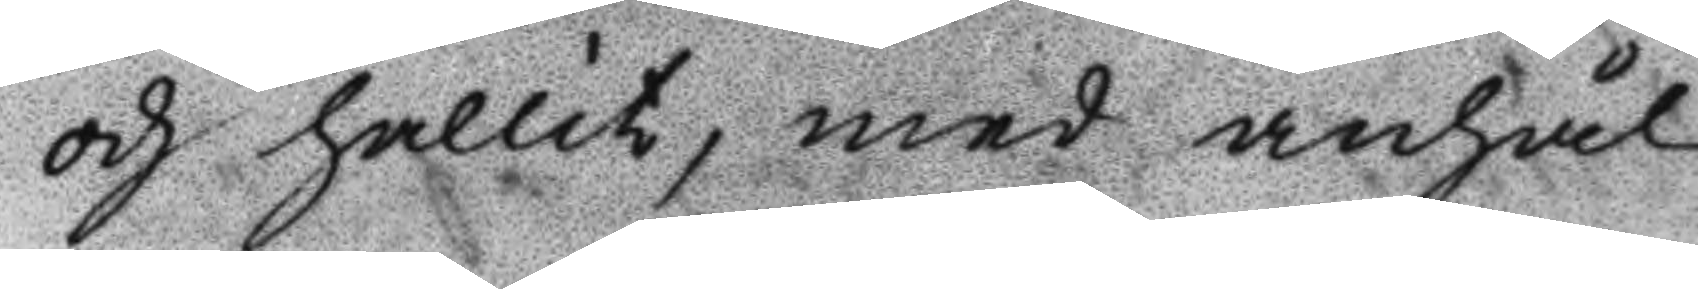och hållit, med anhål¬
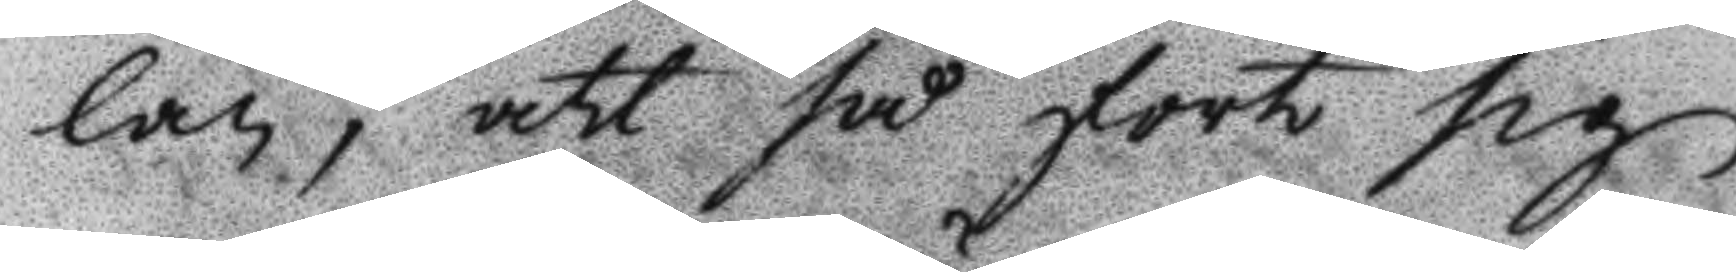lan, att så fort sig
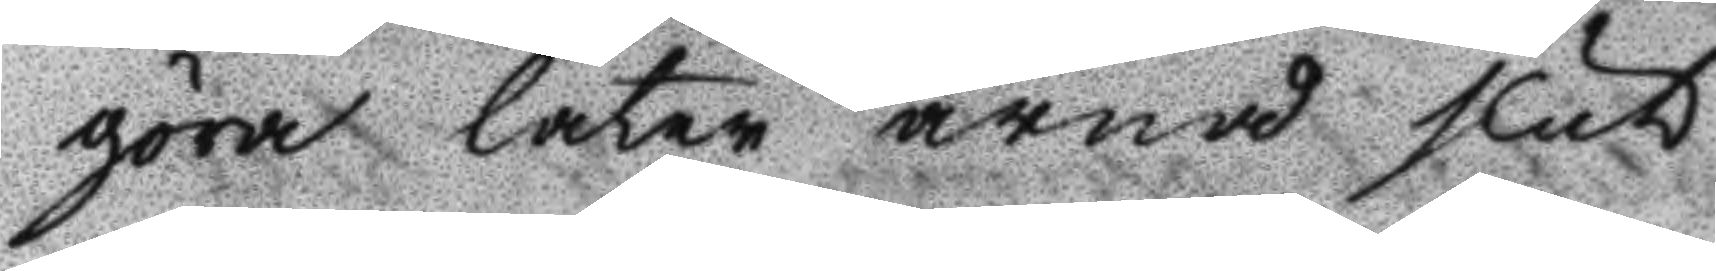göra låter ärnås slut
